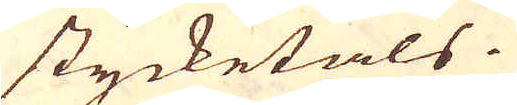stycketals.
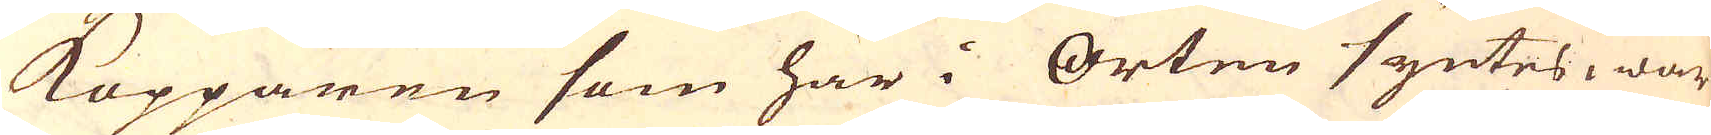Kopparen som här i Orten syntes, war
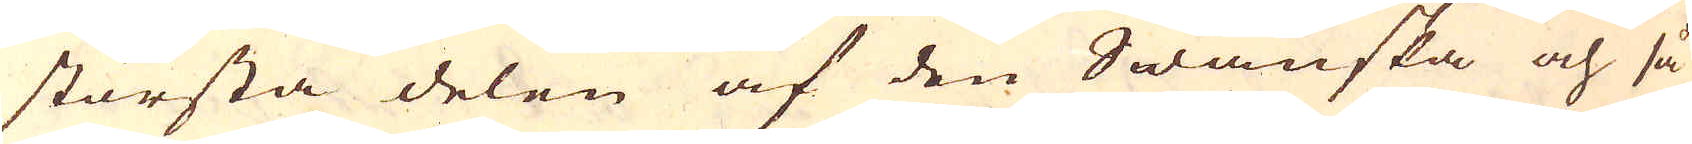största delen af den Swänska och så
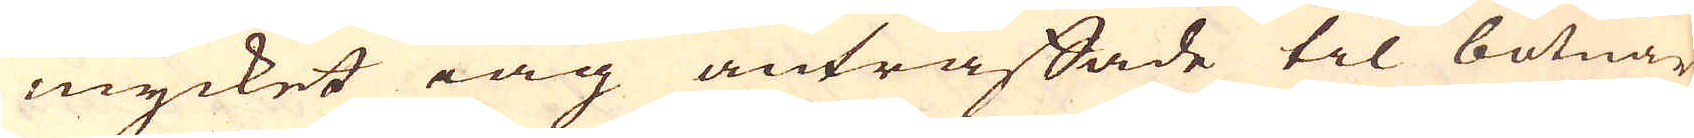mycket iag anträffade til botnar
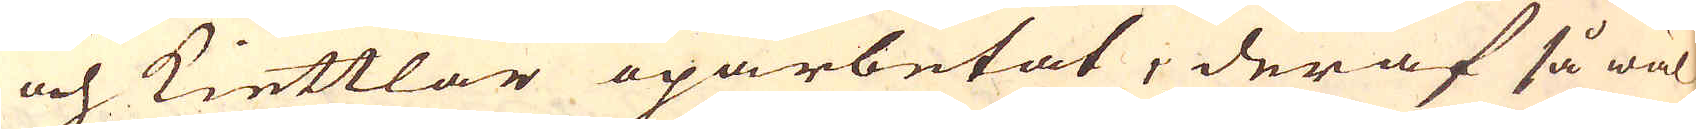och kiettlar oparbetat, deraf så wäl
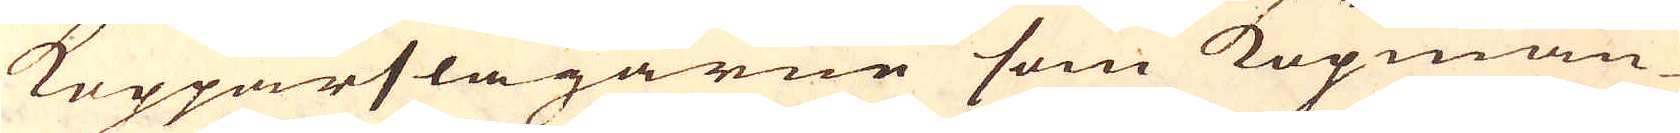Kopparslagarne som Köpmän-
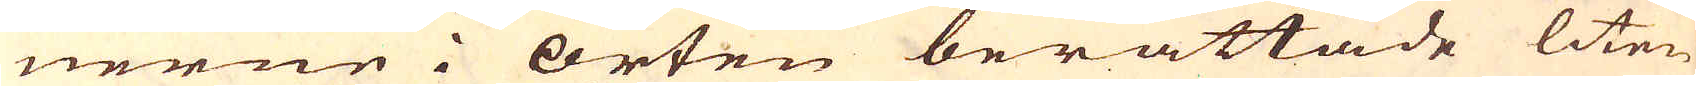nerne i Orten berättade liten
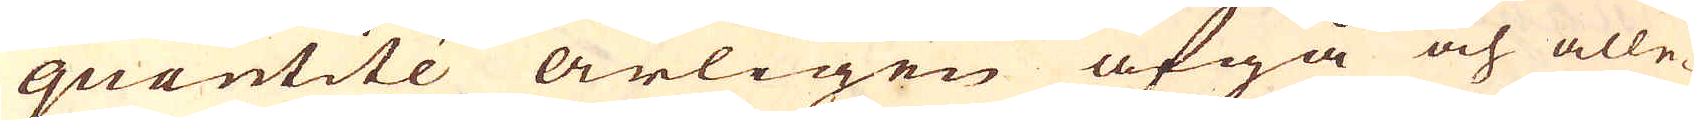quantité årligen afgå och alle-
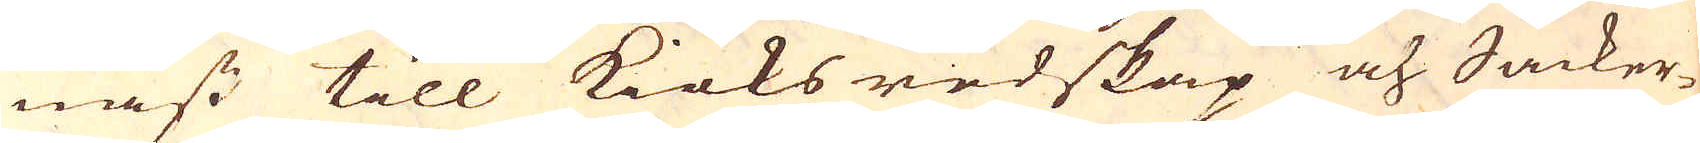nast till Kiöks redskap och Såcker-
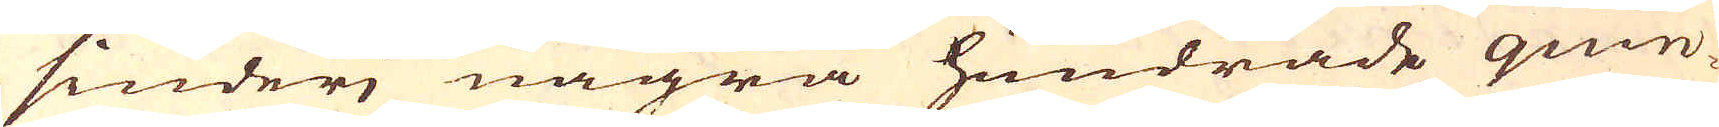siuderi några hundrade quin-
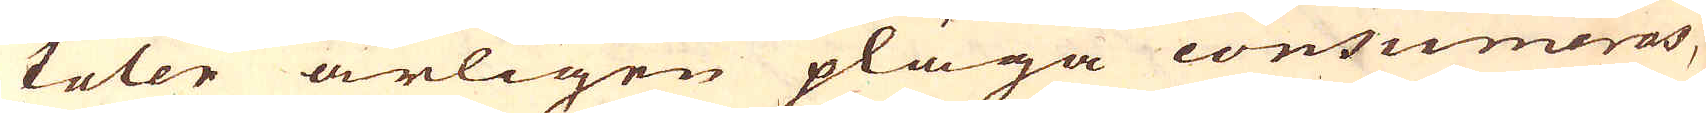taler årligen pläga consumeras,
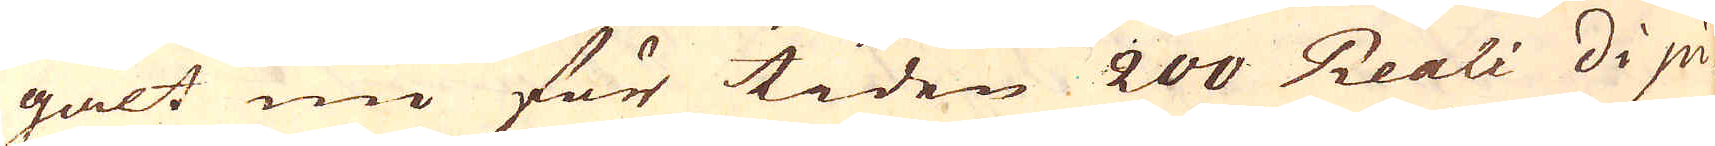galt nu för tiden 200 Reali di pi-
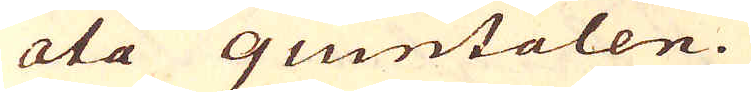ata quintalen.
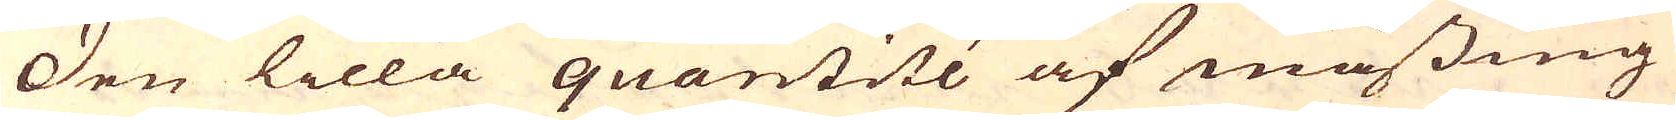Den lilla quantité af mässing
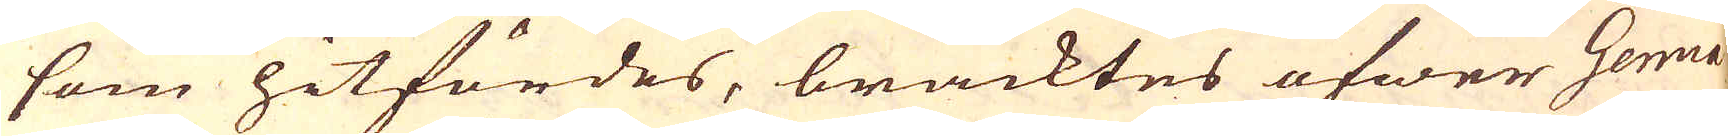som hitfördes, bracktes öfwer Genua
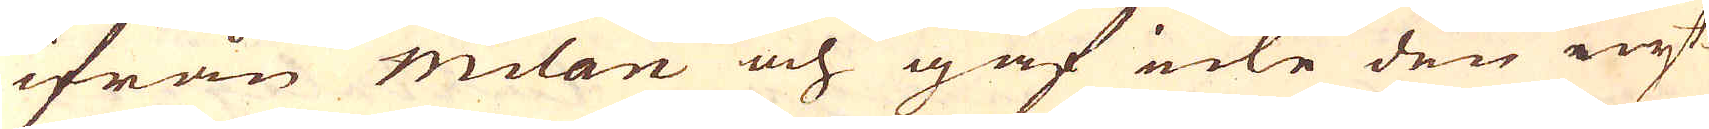ifrån milan och gaf icke den nyt-
